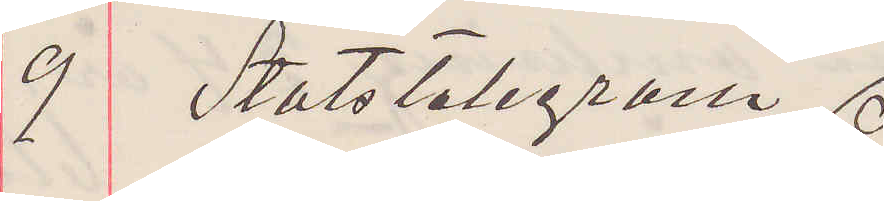9 Statstelegram
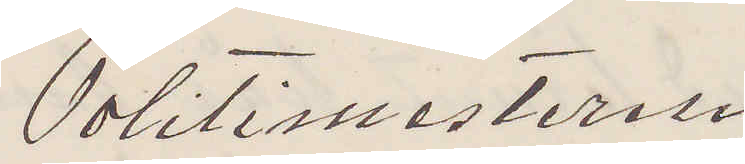Politimesteren
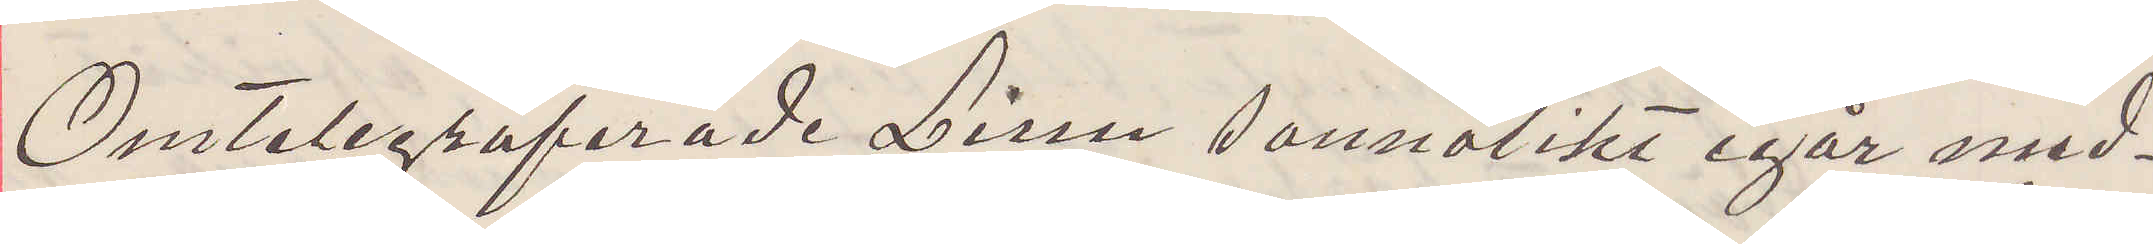Omtelegraferade Linn sannolikt igår med¬
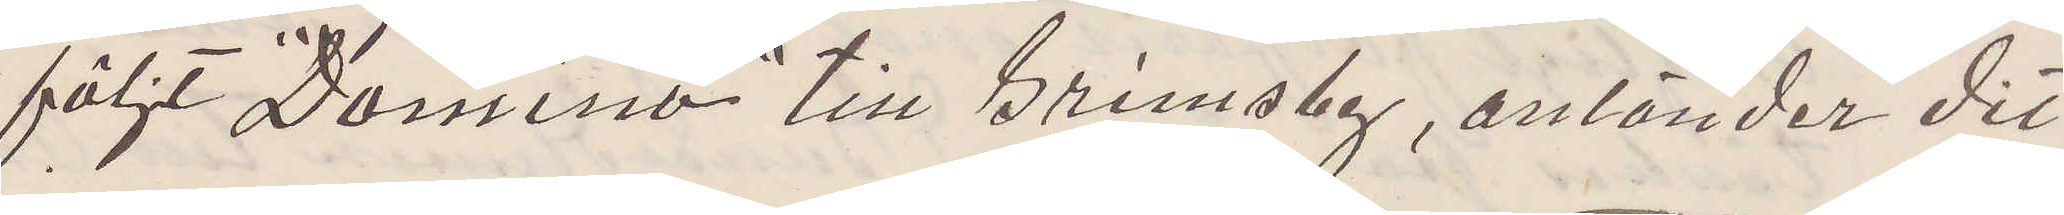följt "Domino" till Grimsby, anländer dit
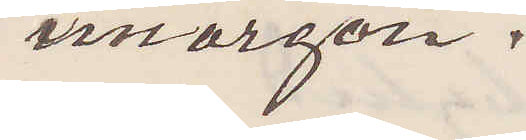imorgon.
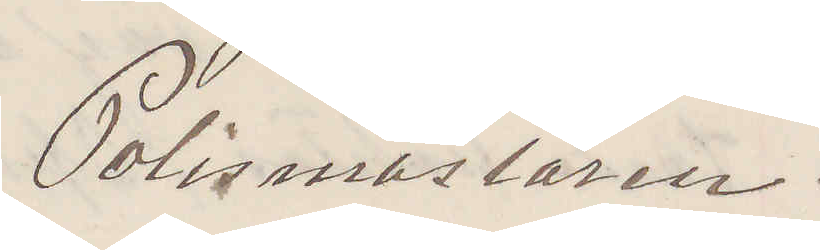Polismästaren.
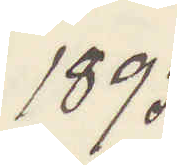1895
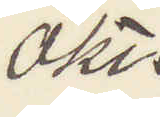Okt.
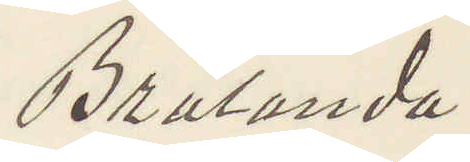Brålanda.
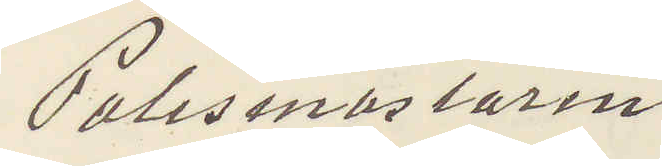Polismästaren
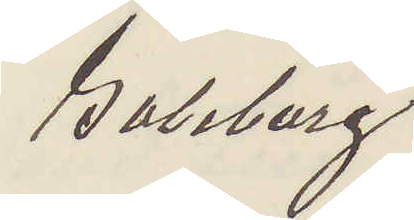Goteborg.
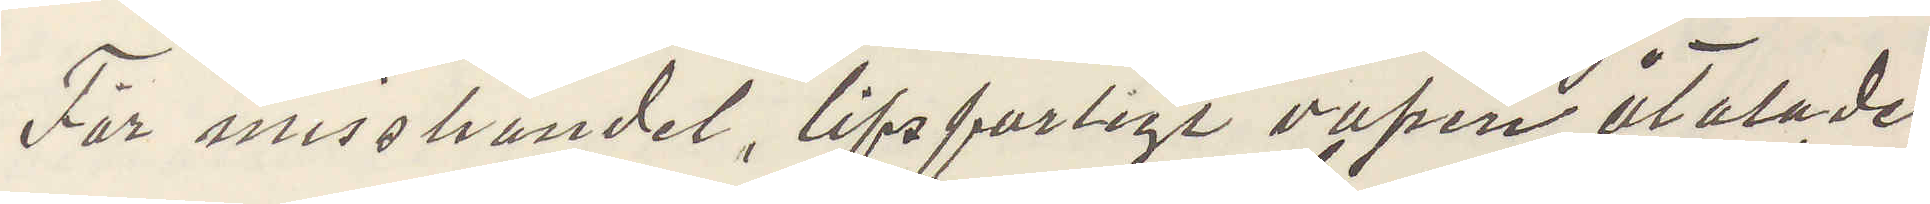För misshandel, lifsfarligt vapen åtalade
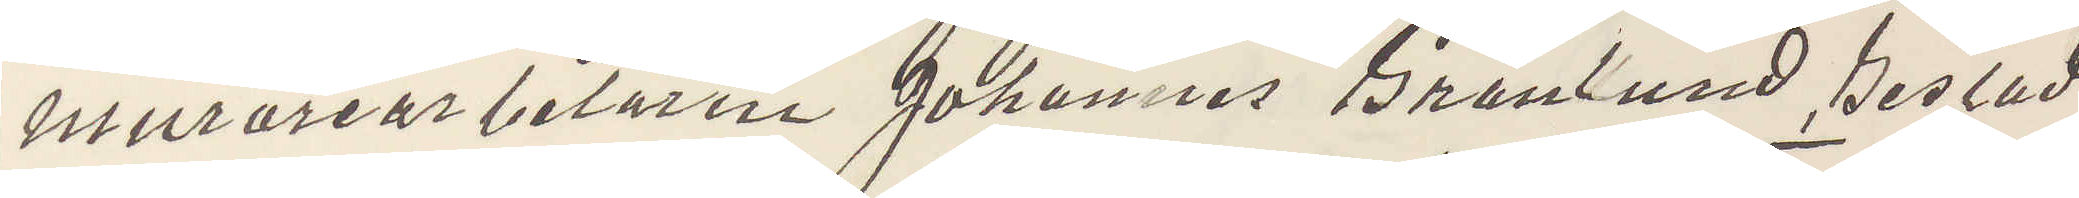murarearbetaren Johannes Granlund, Gestad
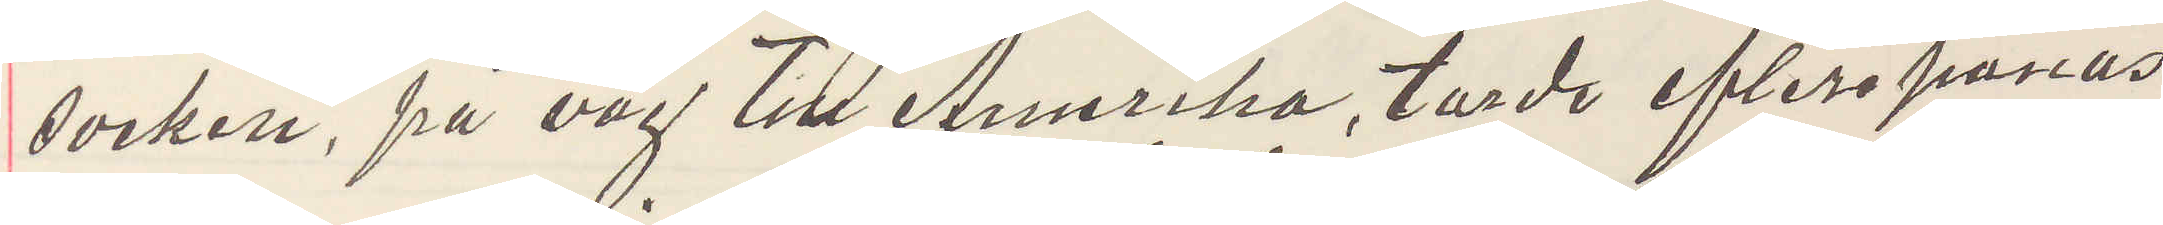socken, på väg till Amerika, torde efterspanas
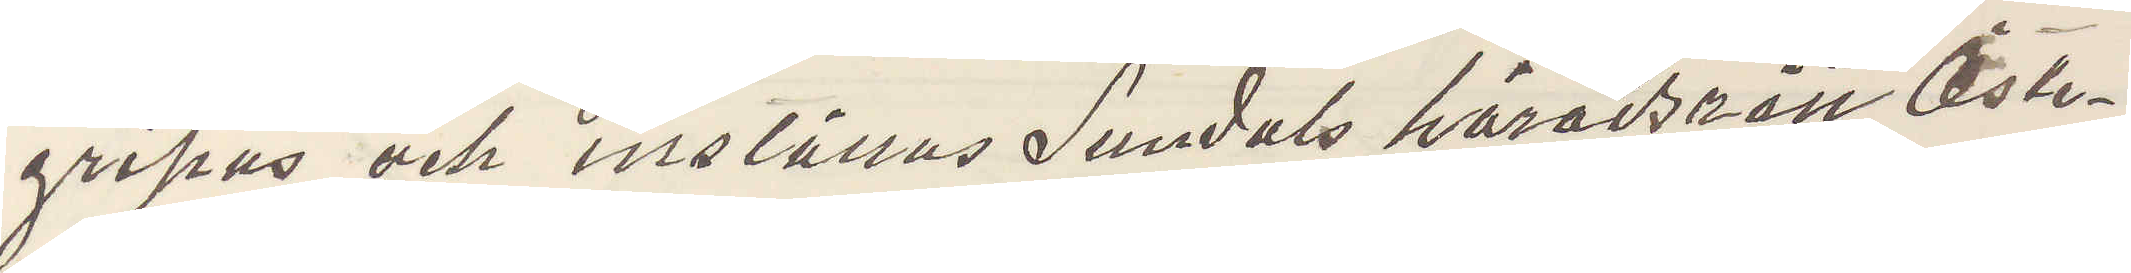gripas och inställas Sundals häradsrätt Öste¬
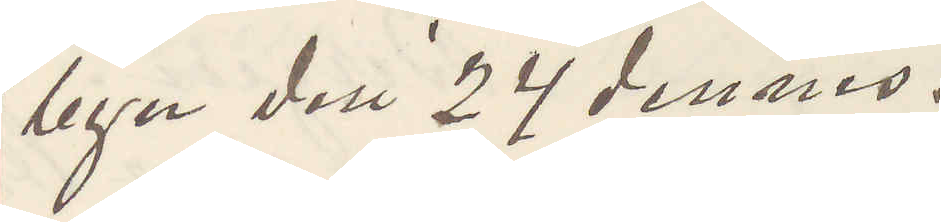byn den 24 dennes.
